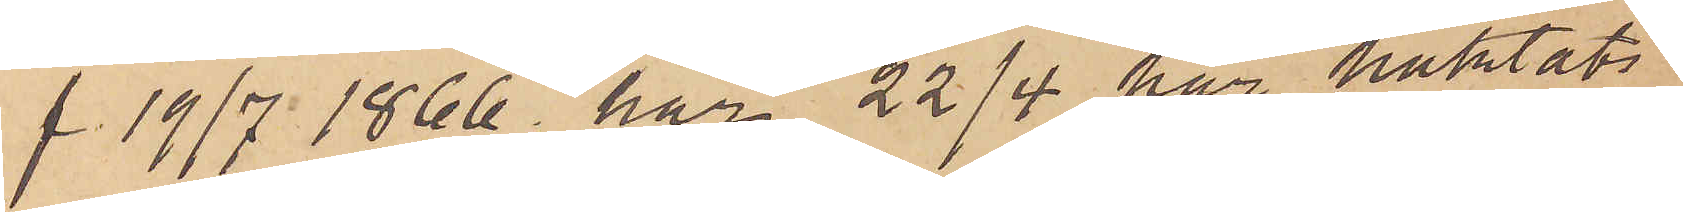f. 19/7 1866 har 22/4 här häktats
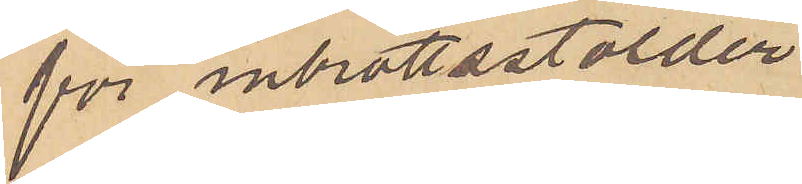för inbrottsstölder
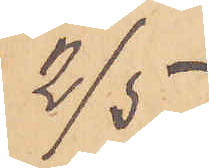2/5
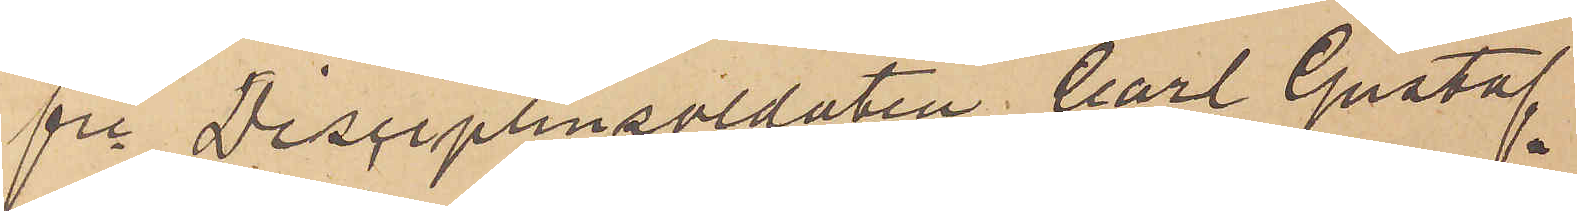fe Disciplinsoldaten Carl Gustaf
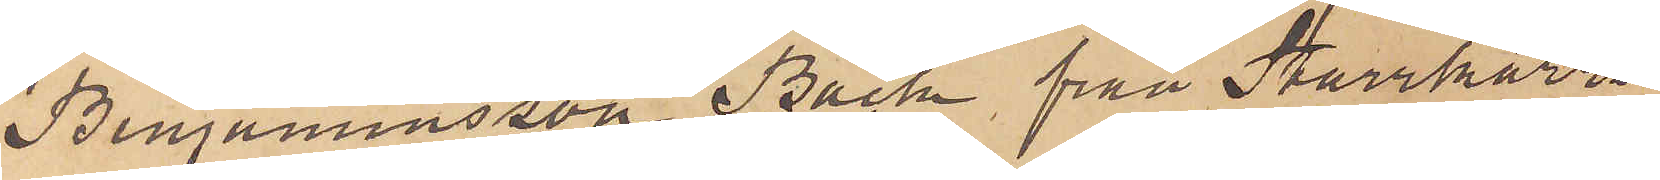Bemanensson Bäck, från Starrkärrs
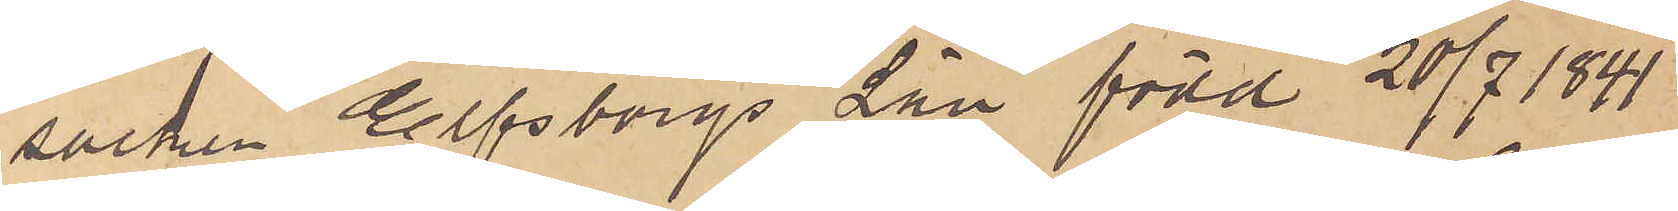socken Elfsborgs län, född 20/7 1841
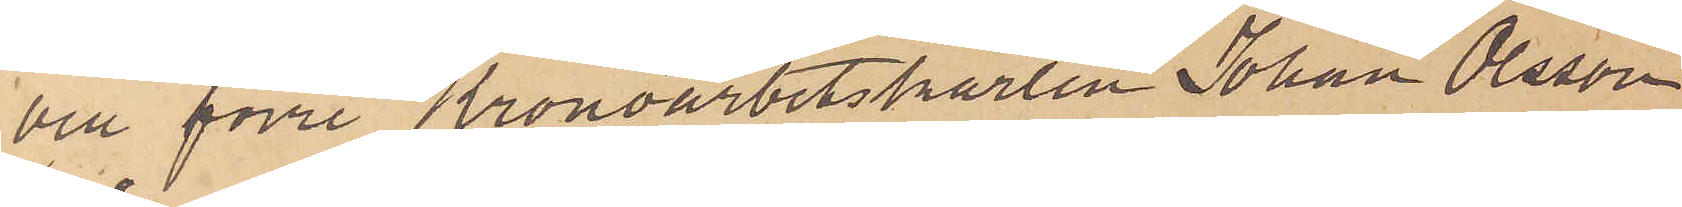och förre Kronoarbetskarlen Johan Olsson
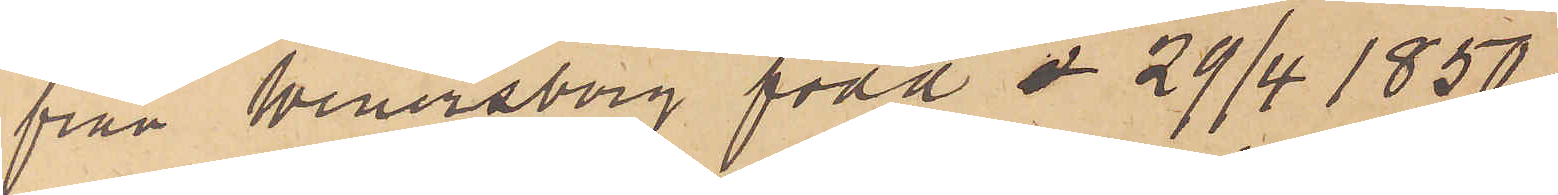från Wenersborg född å 29/4 1850
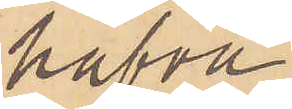hafva
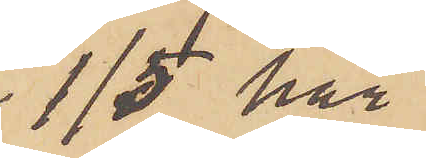1/5 här
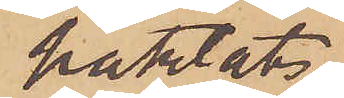häktats,
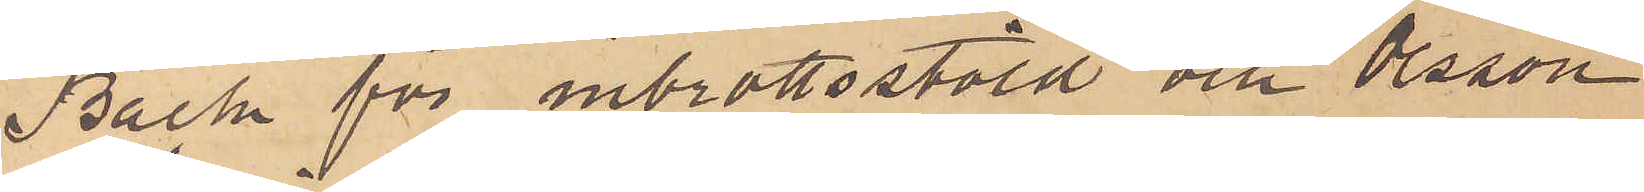Bäck för inbrottsstöld och Olsson
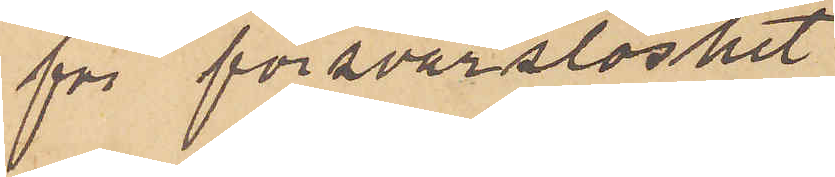för försvarslöshet.
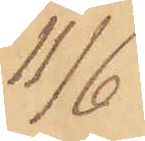11/6
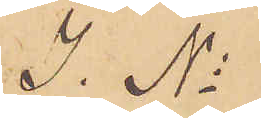I. No
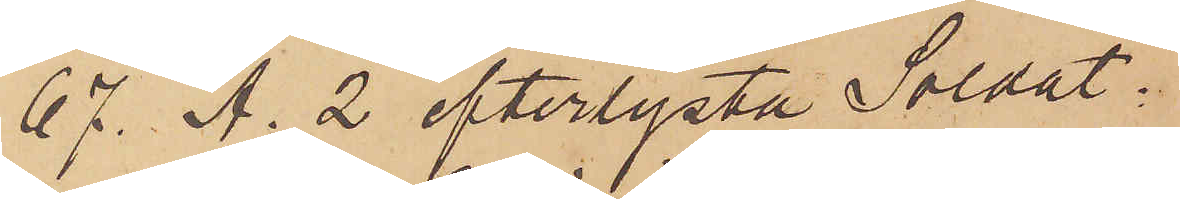67. A. 2 efterlysta Soldat¬
